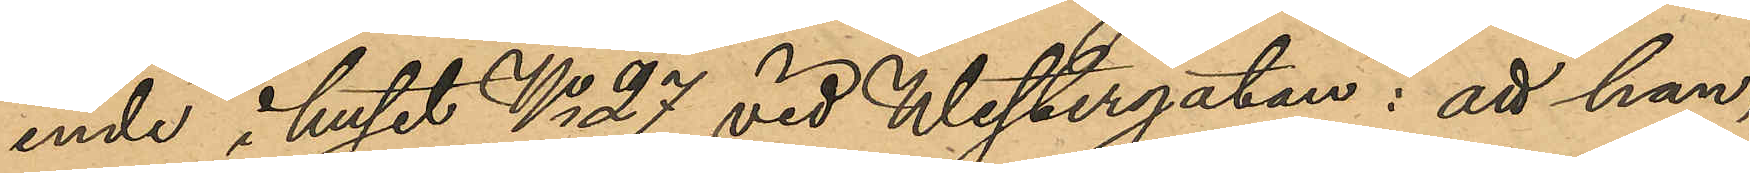ende i huset No 27 vid Westergatan; att han,
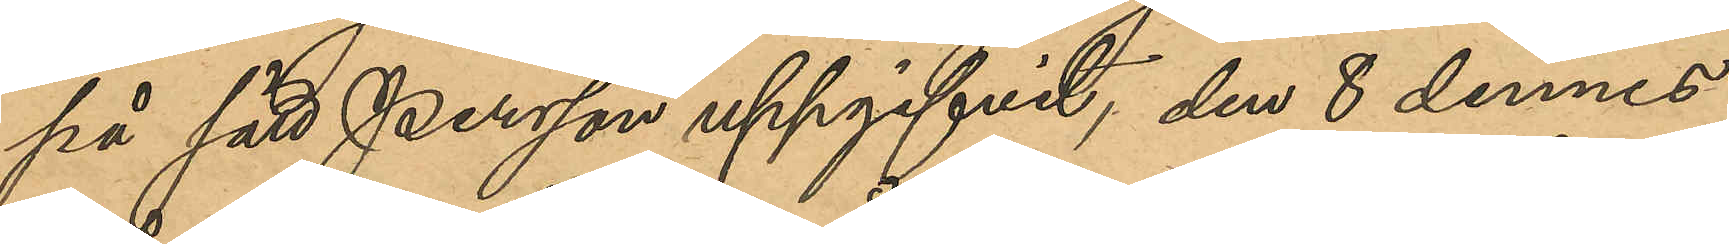på sätt Persson uppgifvit, den 8 dennes
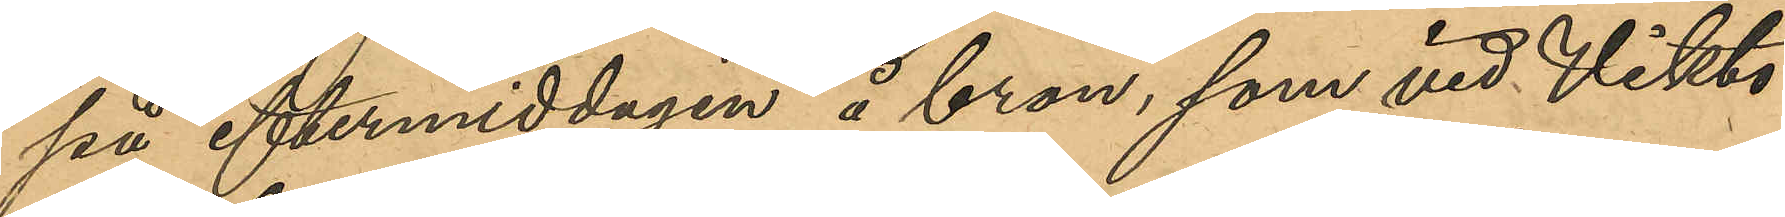på eftermiddagen å bron, som vid Vikto¬
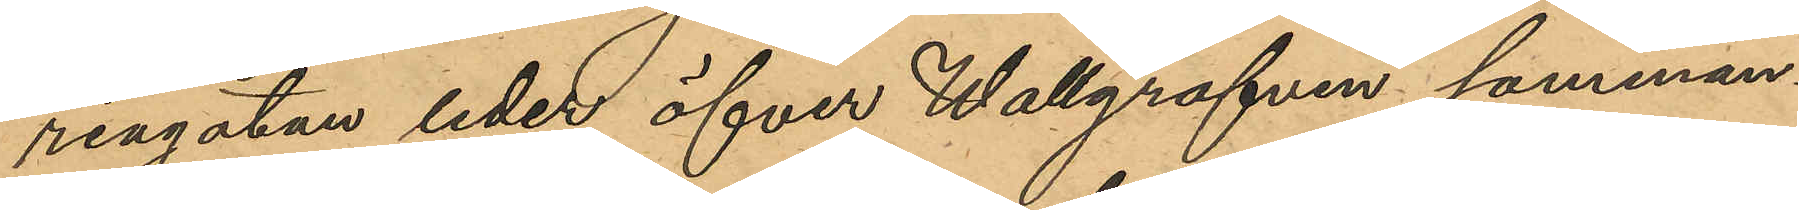riagatan leder öfver Wallgraven samman¬
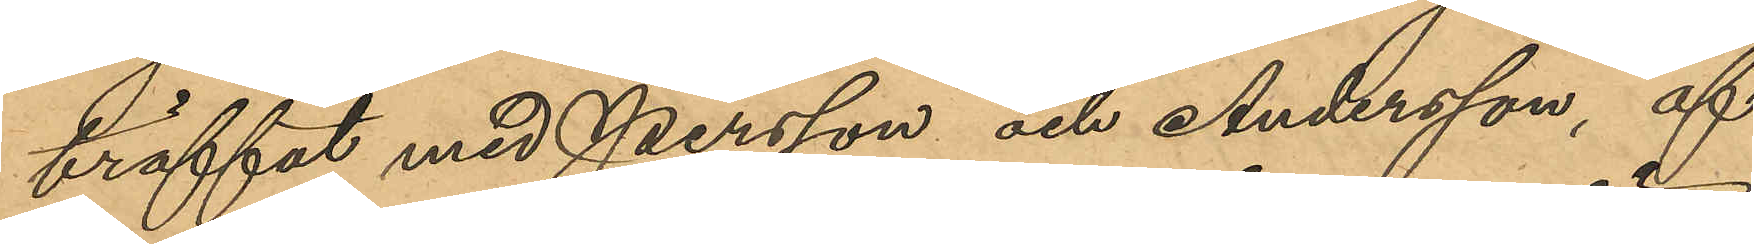träffat med Persson och Andersson, af
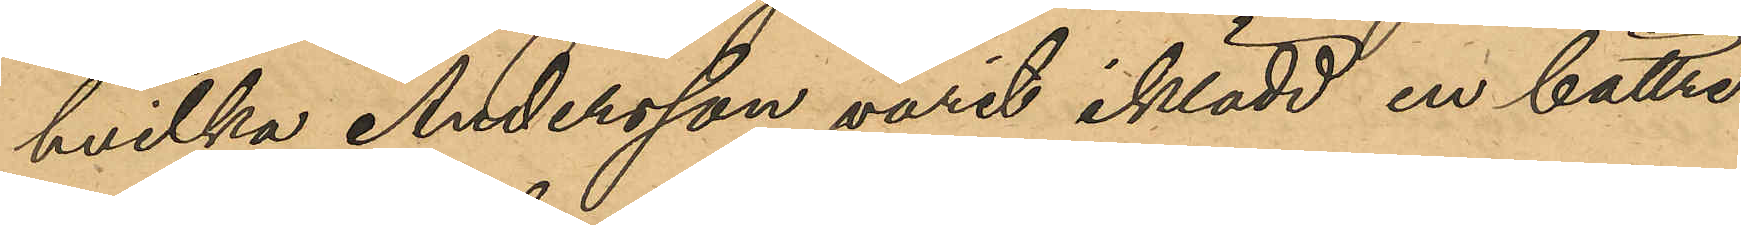hvilken Andersson varit iklädd en bättre
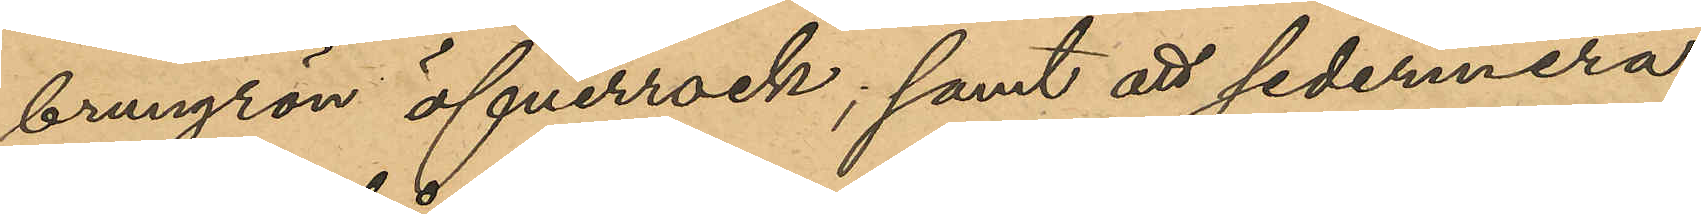brungrön öfverrock; samt att sedermera
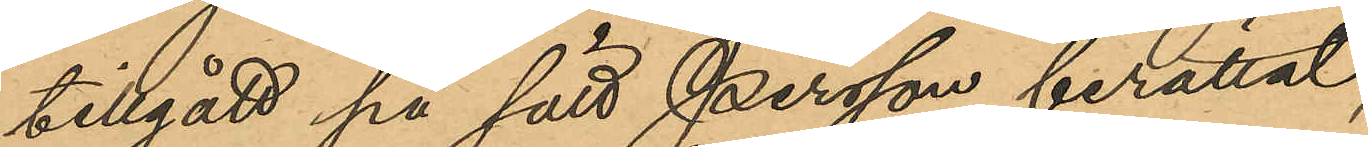tillgått på sätt Persson berättat;
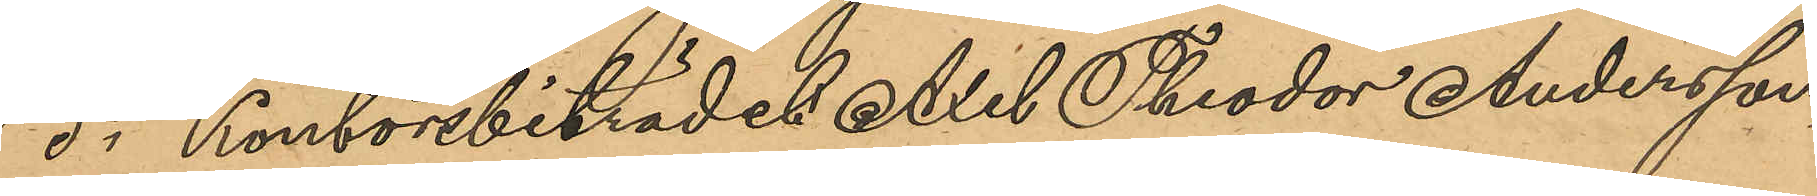5o Kontorsbiträdet Axel Theodor Andersson
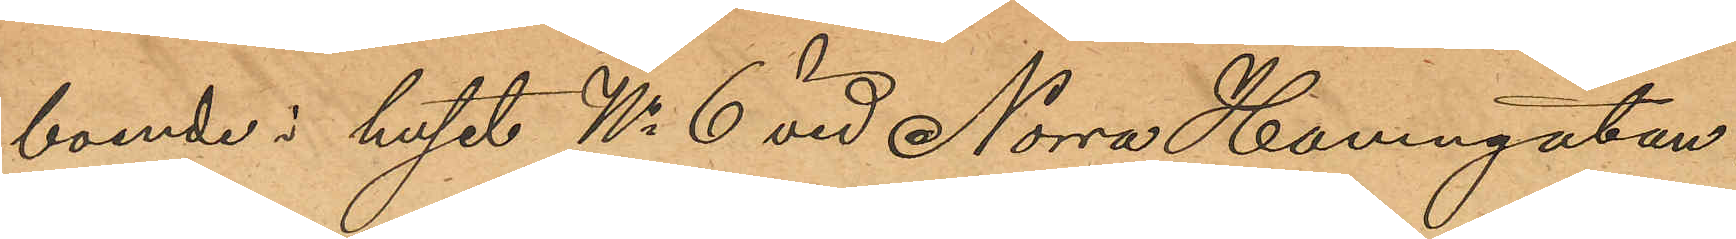boende i huset No 6 vid Norra Hamngatan;
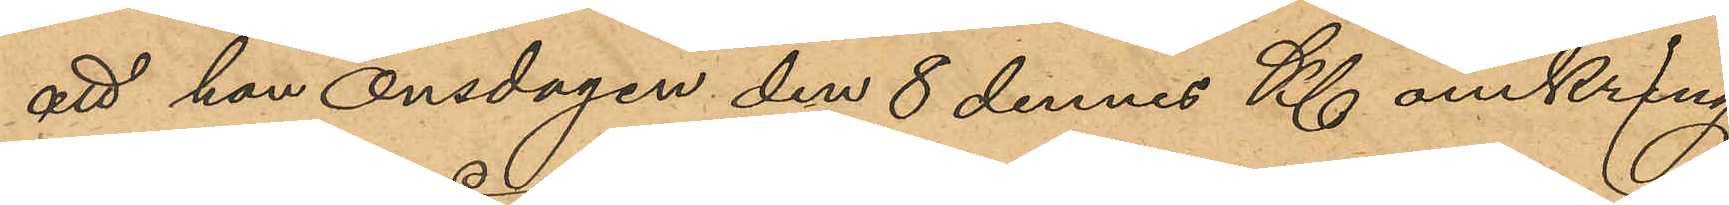att han onsdagen den 8 dennes Kl omkring
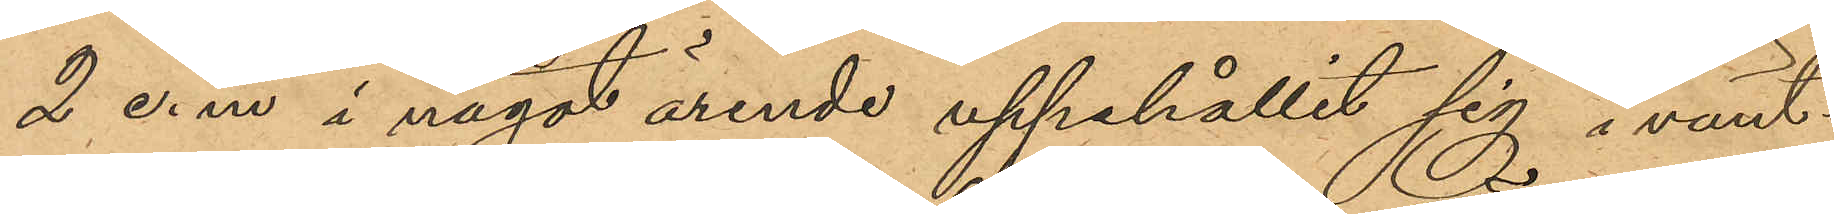2 e.m i något ärende uppehållit sig i vänt¬
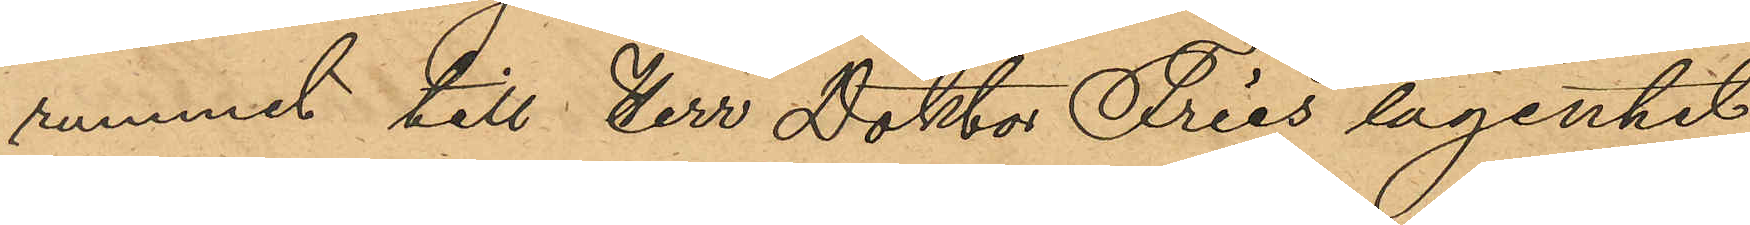rummet till Herr Doktor Fries lägenhet
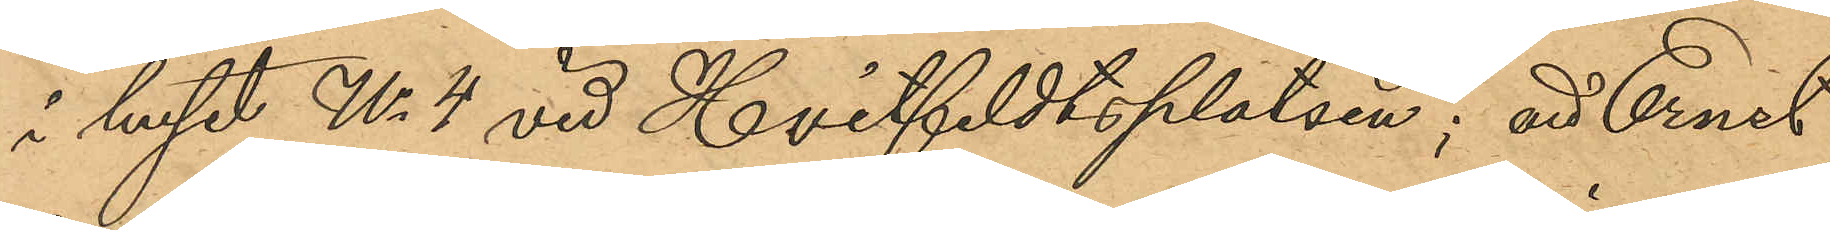i huset No 4 vid Hvitfeldtsplatsen; att Ernst
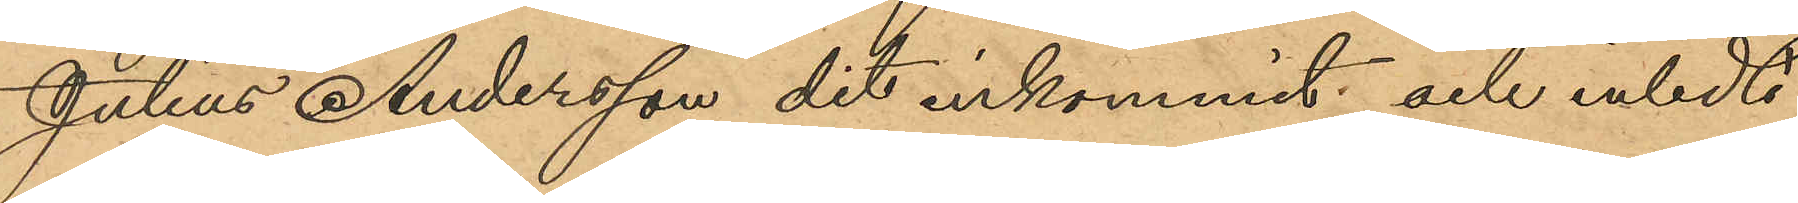Julius Andersson dit inkommit och inledt
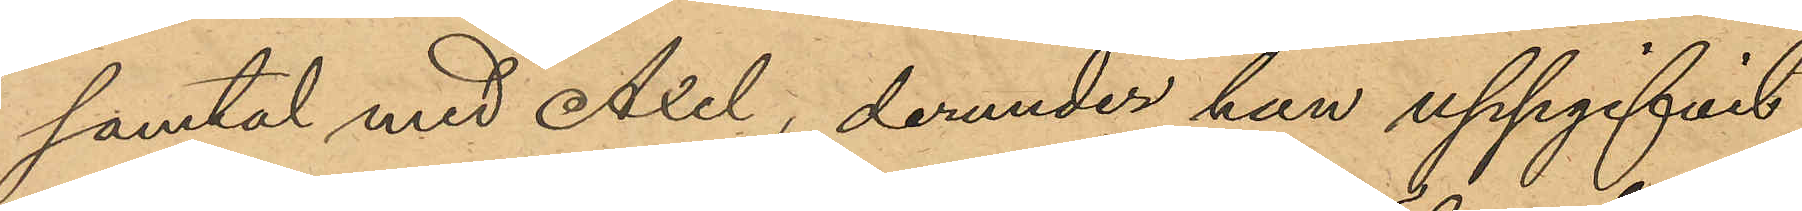samtal med Axel, derunder han uppgifvit
